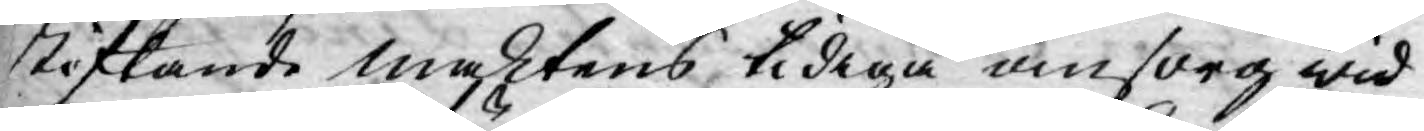stiftande maktens tidiga omsorg wid
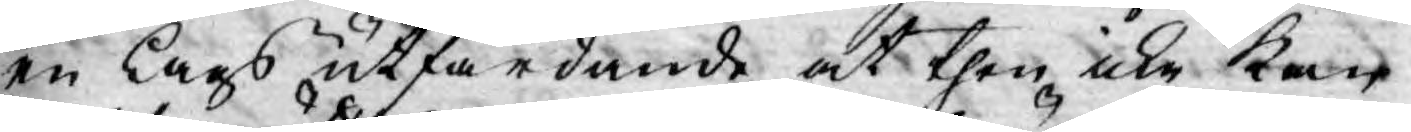en Lags utfärdande at then icke kan
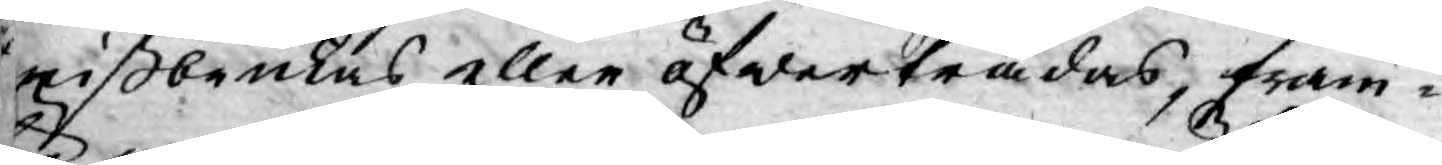mißbrukas eller öfwerträdas, fram¬
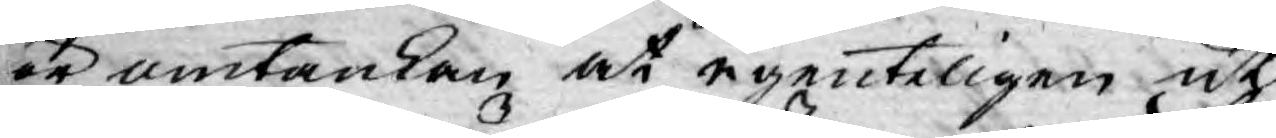för omtankan at egenteligen uti
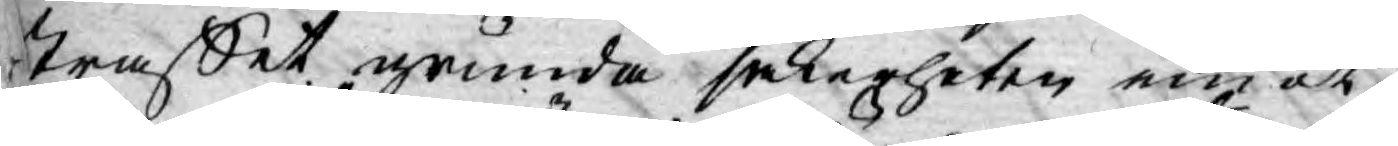straffet grunda säkerheten emot
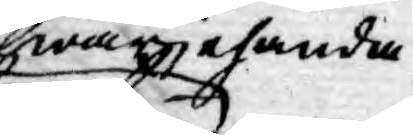hwarjehanda
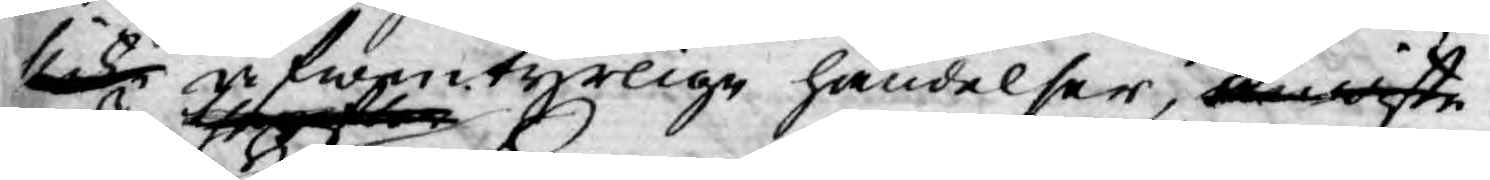slike äfwentyrlige händelser, anwiste
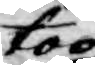tog
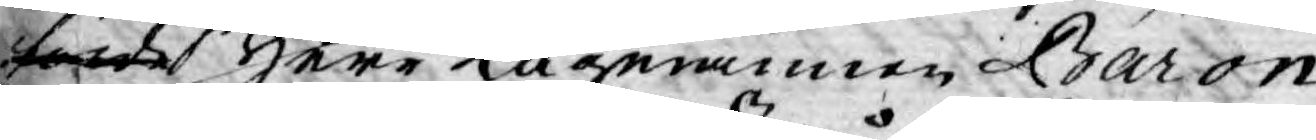förde Herr Lagmannen Baron
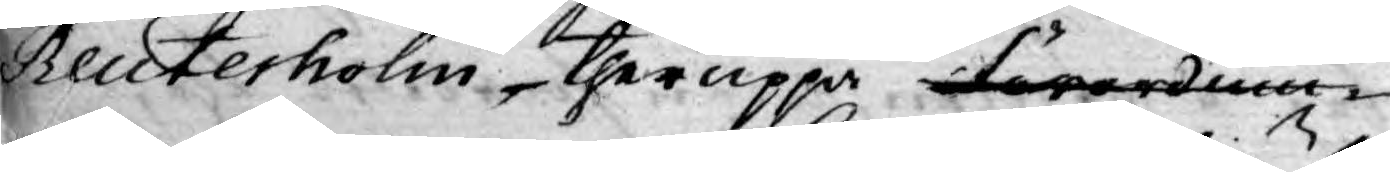Reuterholm, theruppå förordnin¬
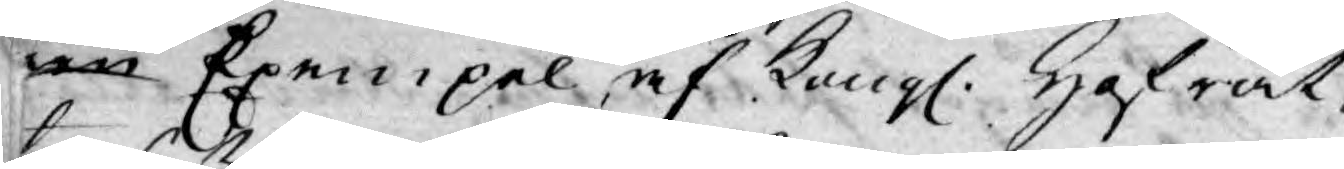nen Exempel af Kongl. Hofrät¬
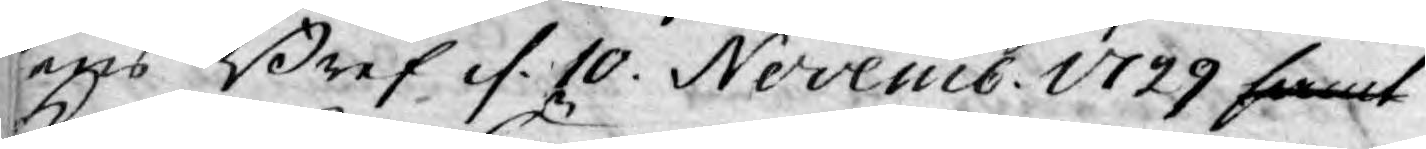tens Bref d. 10. Novemb. 1729 samt
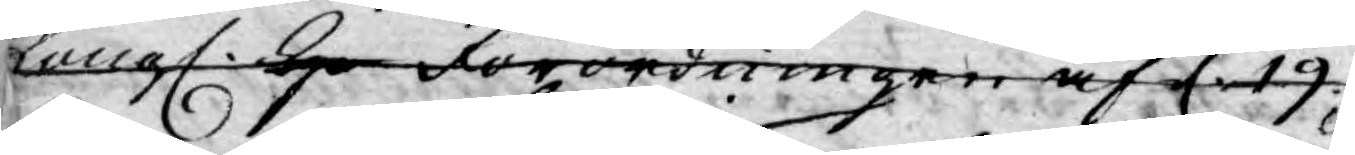Kongl. H Förordningen af d 19.
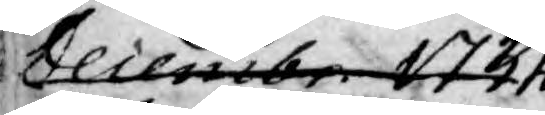Decembr. 1734.
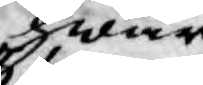hwari
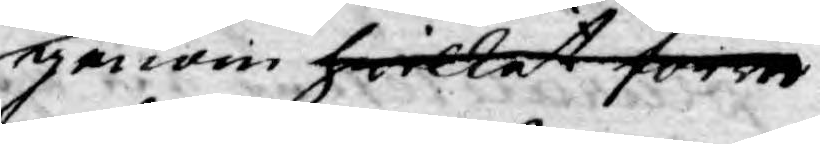genom hwilket förre
